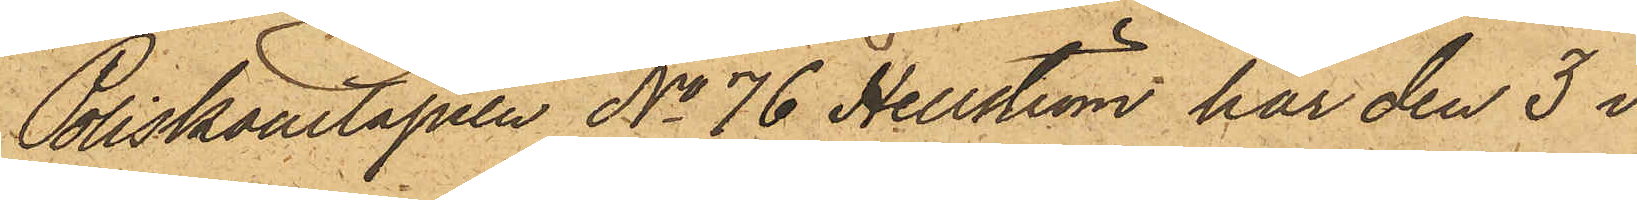Poliskonstapeln No 76 Hellström har den 3 i
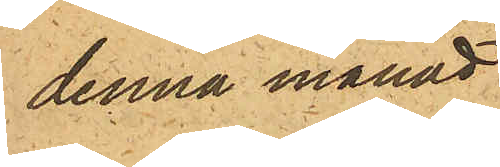denna månad
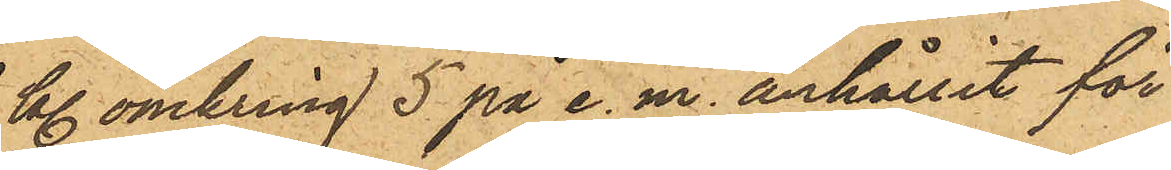kl. omkring 5 på e.m. anhållit för
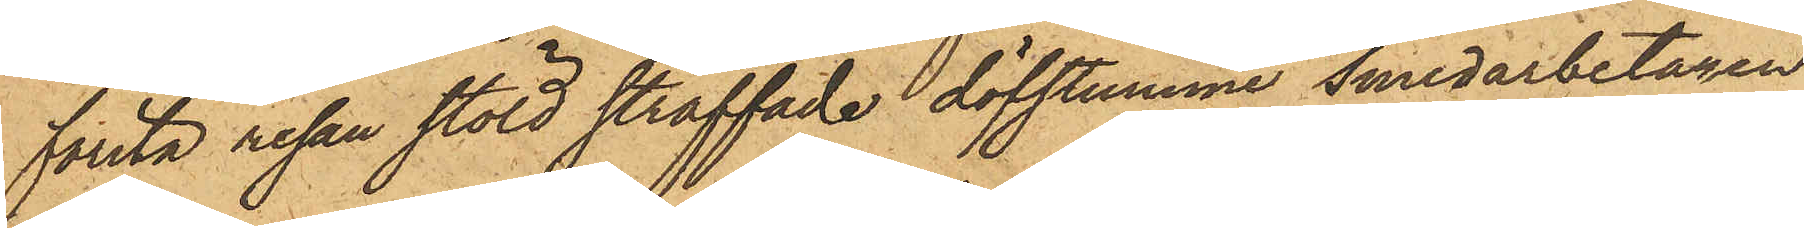första resan stöld straffade döfstumme Smedarbetaren
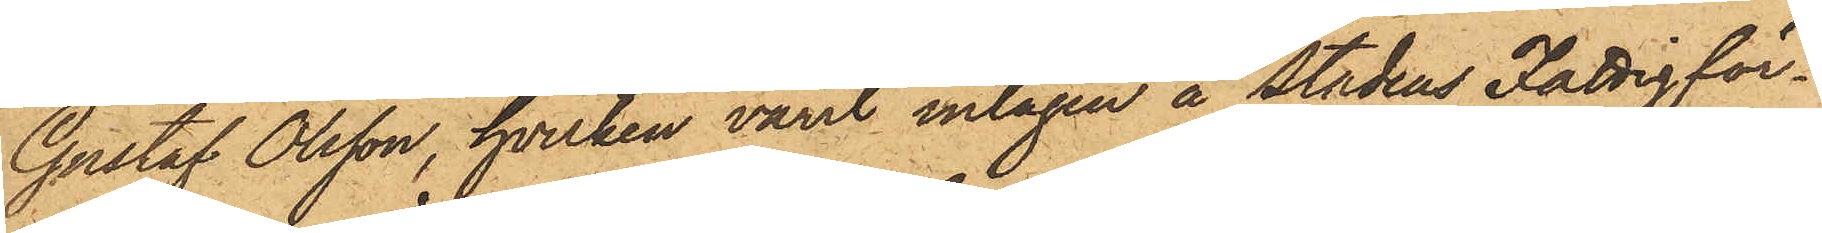Gustaf Olsson, hvilken varit intagen å Stadens Fattigför¬
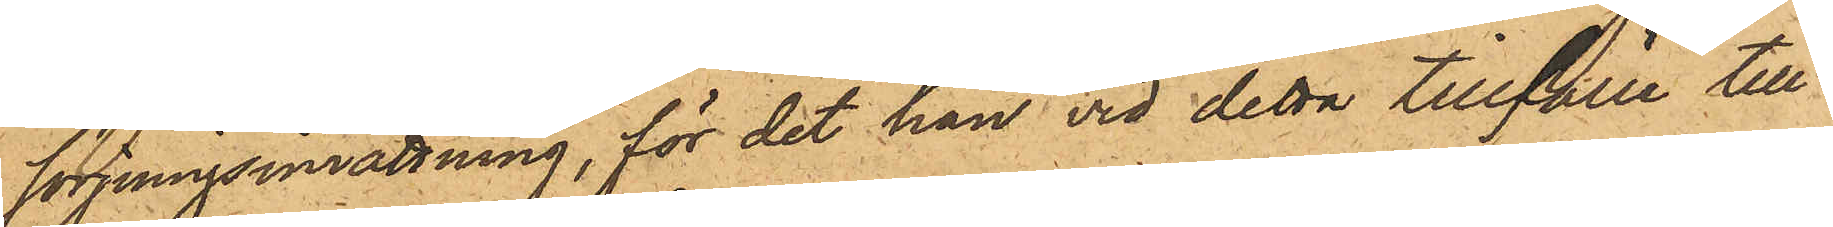sörjningsinrättning, för det han vid detta tillfälle till
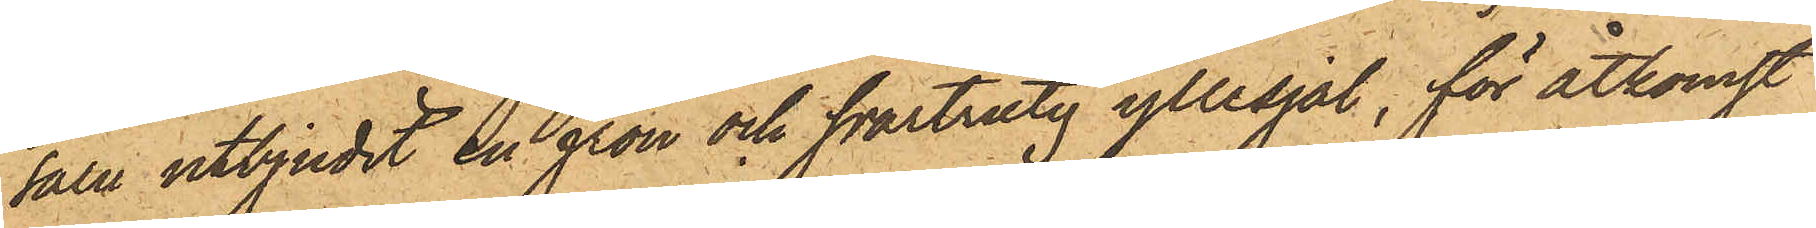salu utbjudit en grön och svartrutig yllesjal, för åtkomst
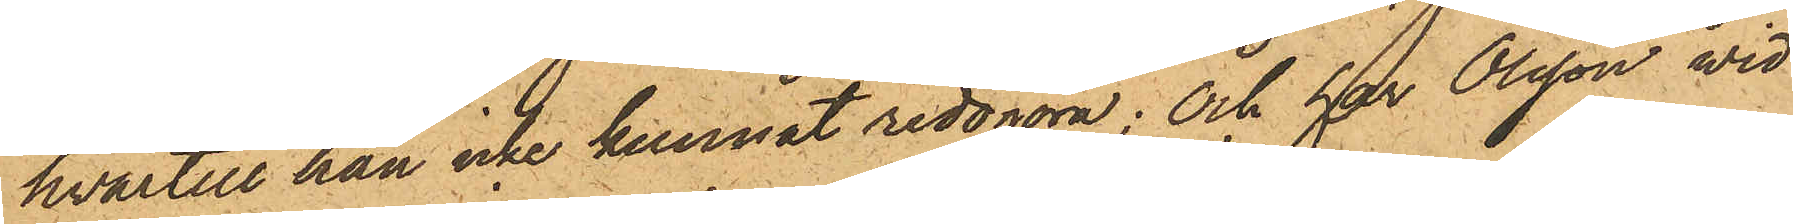hvartill han icke kunnat redogöra; och har Olsson wid
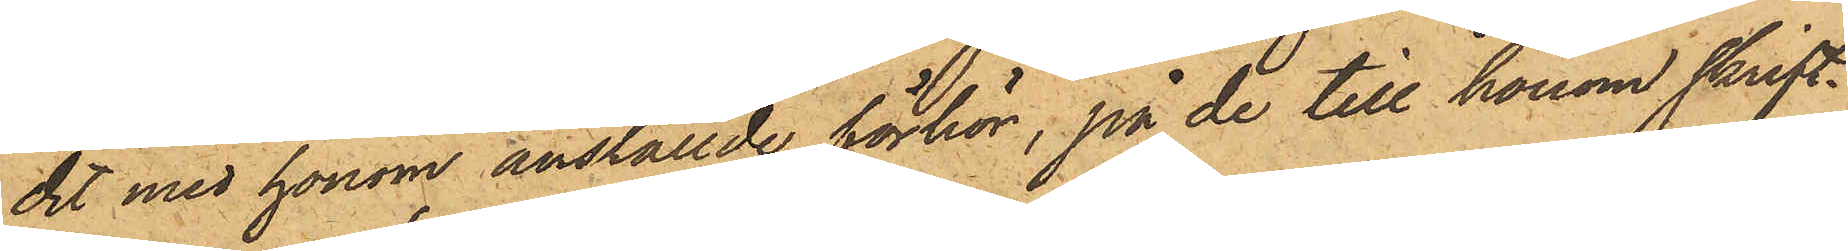det med honom anställde förhör, på de till honom skrift¬
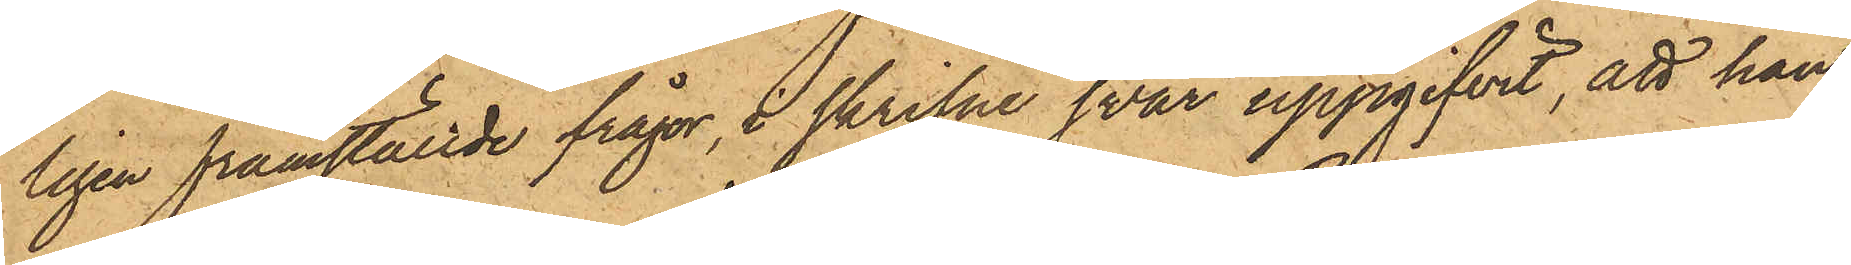ligen framställde frågor, i skrifne svar uppgifvit, att han
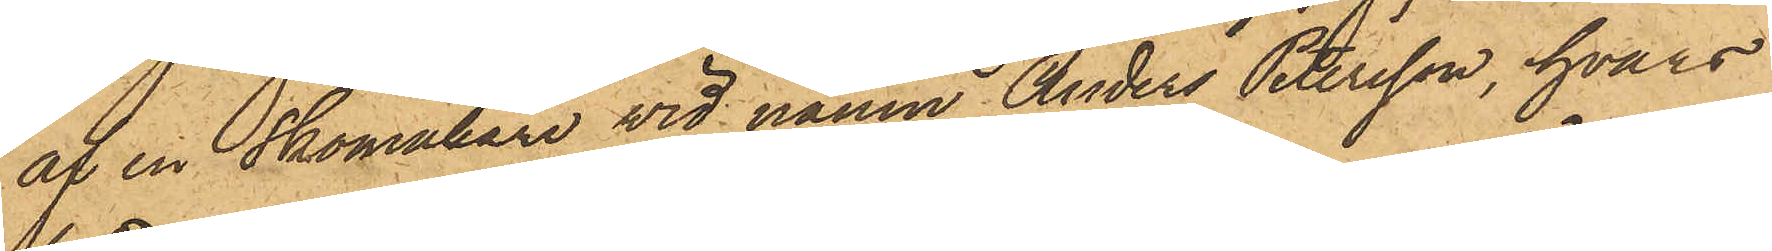af en skomakare vid namn Anders Petersson, hvars
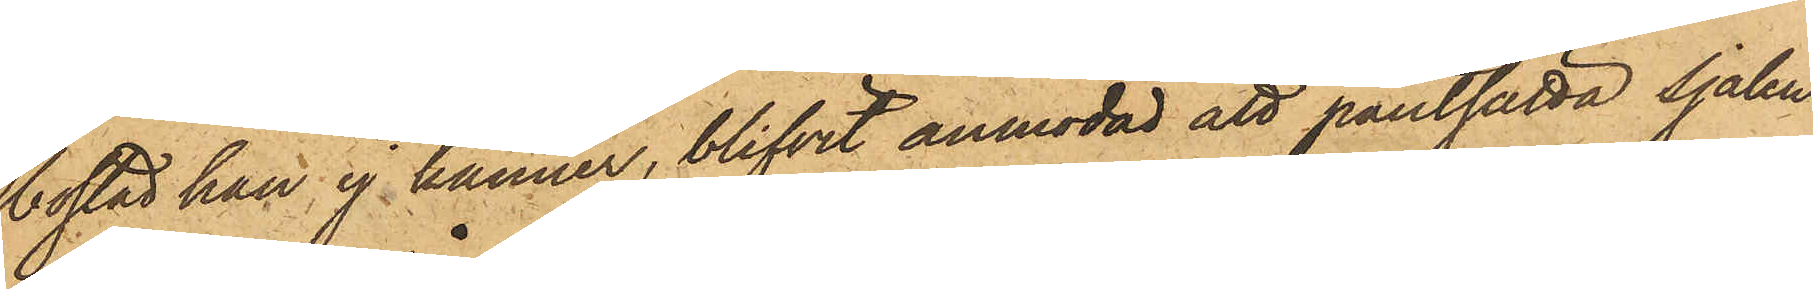bostad han ej känner, blifvit anmodad att pantsätta sjalen
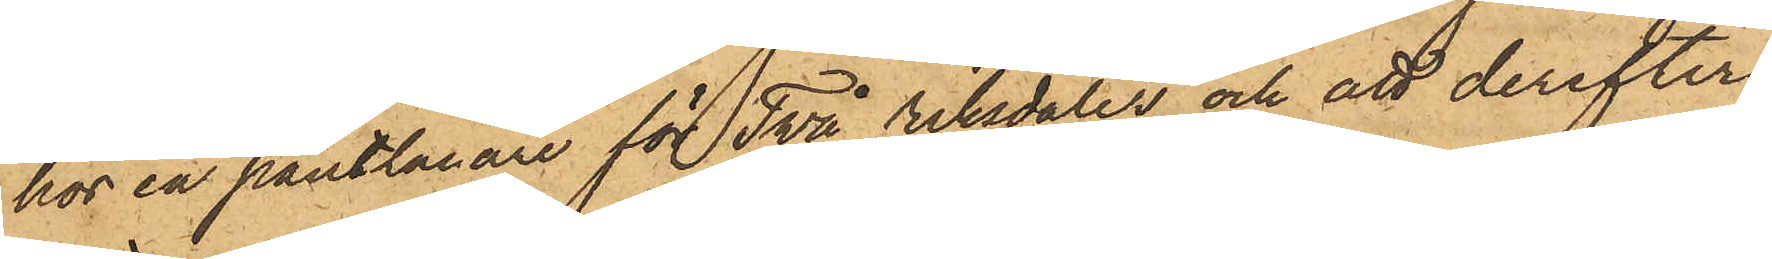hos en pantlånare för Två riksdaler och att derefter
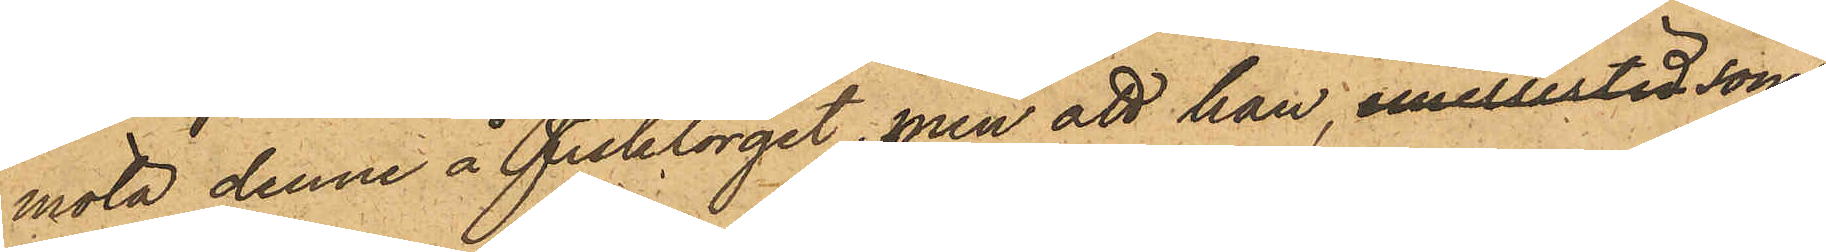möta denne å Fisktorget, men att han, emellertid som
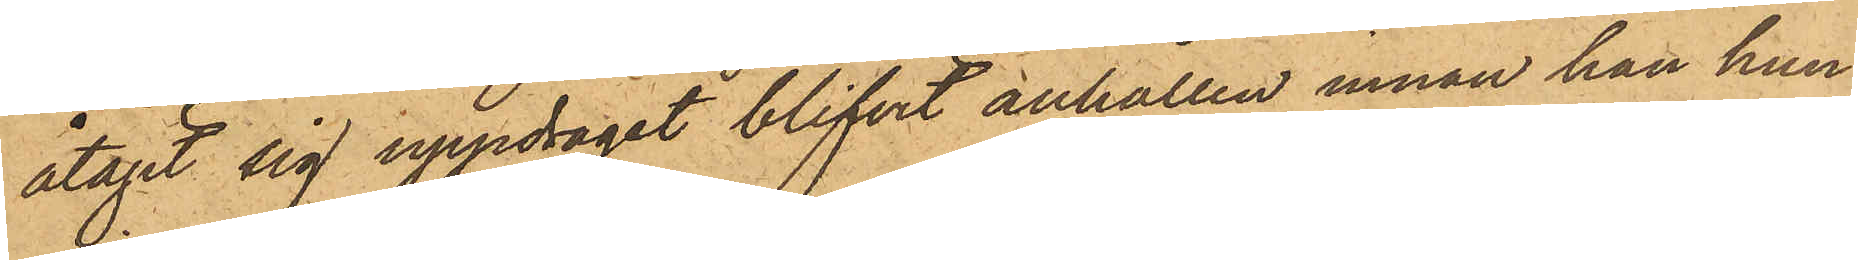åtagit sig uppdraget blifvit anhållen innan han hun¬
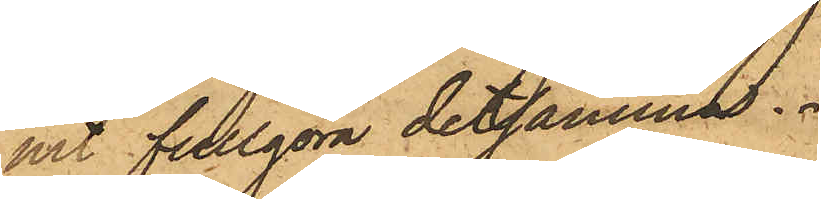nit fullgöra detsamma.
